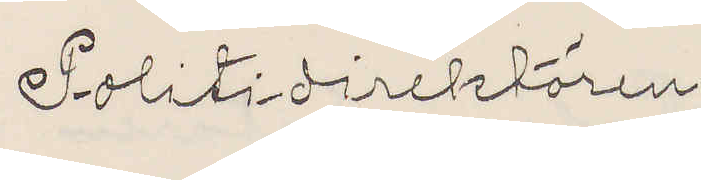Politidirektören
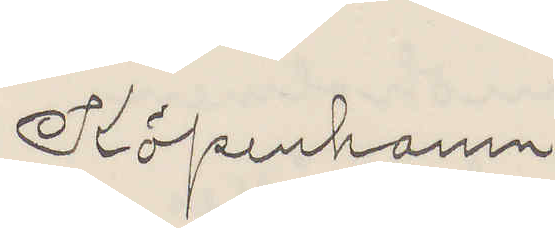Köpenhamn
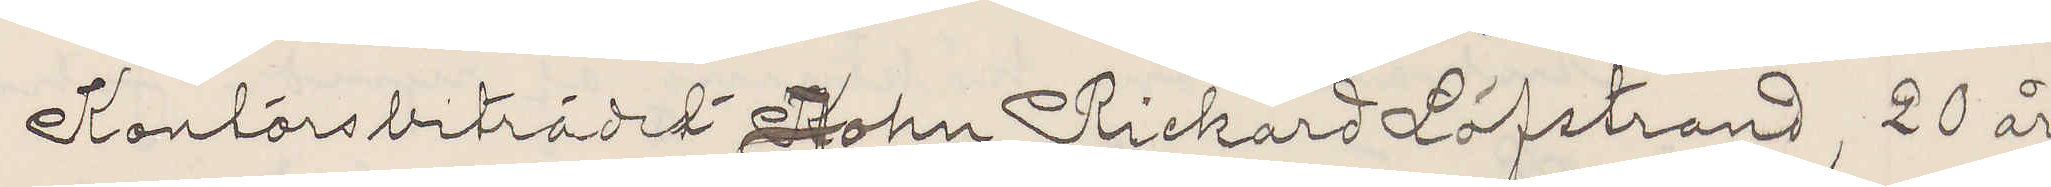Kontorsbiträdet John Rickard Löfstrand, 20 år
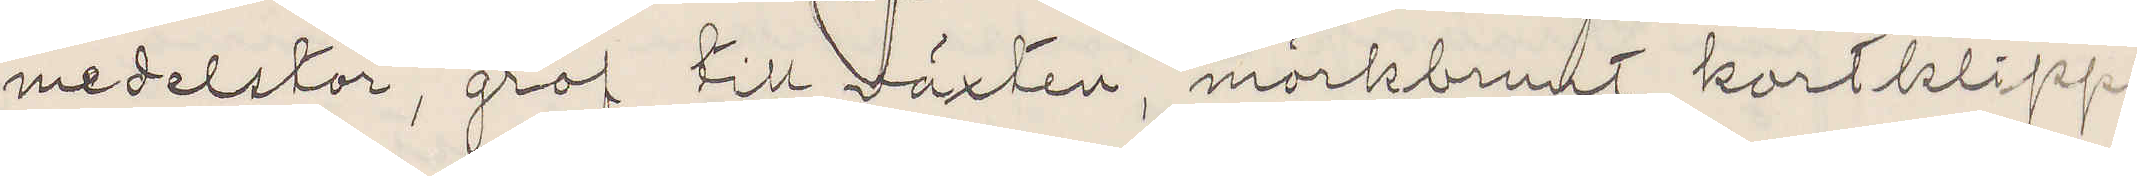medelstor, grof till växten, mörkbrunt kortklippt
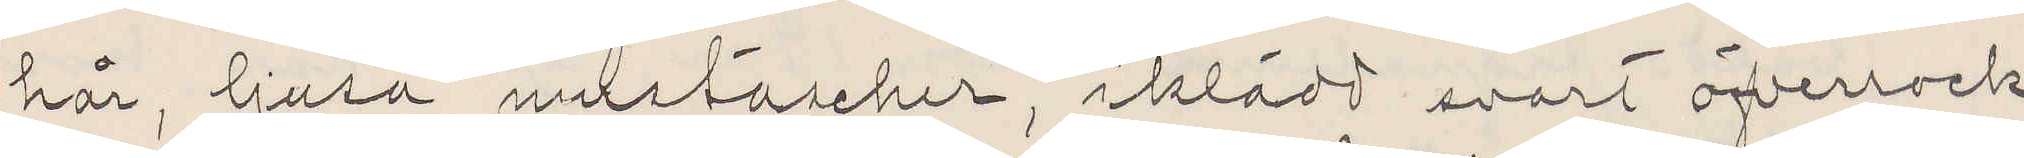hår, ljusa mustascher, iklädd svart öfverrock,
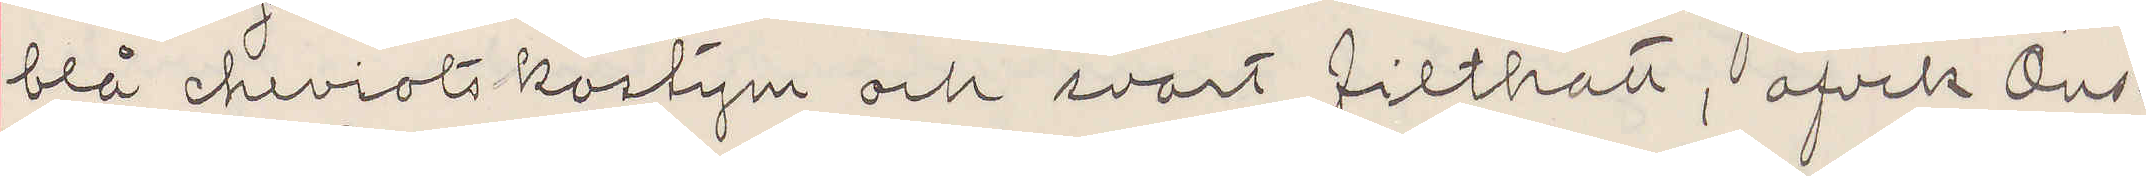blå cheviotkostym och svart filthatt, afvek Ons¬
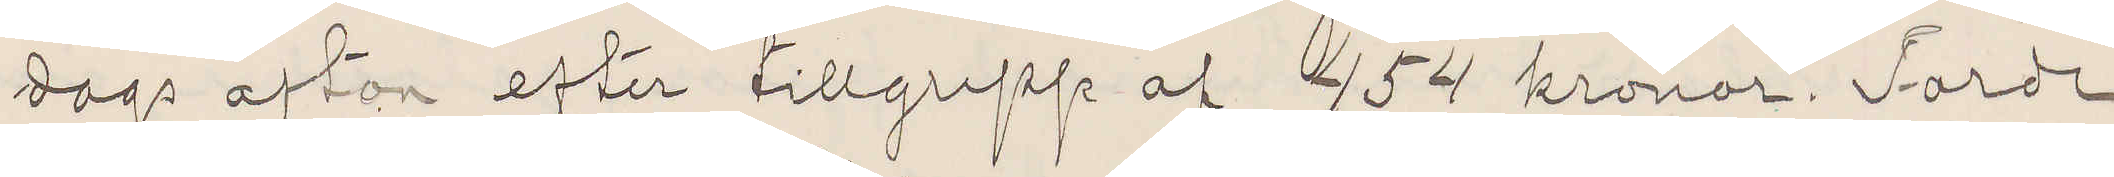dags afton efter tillgrepp af 454 kronor Torde
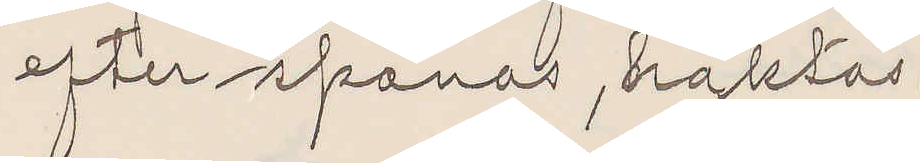efterspanas, häktas.
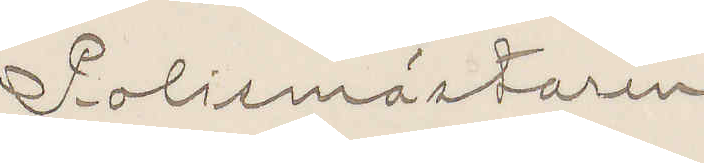Polismästaren
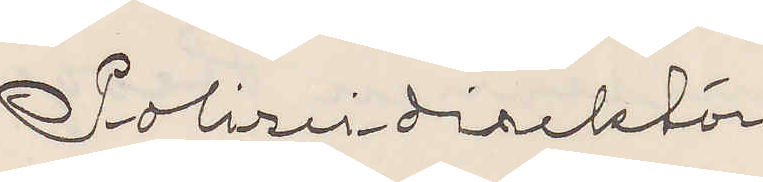Polizeidirektör
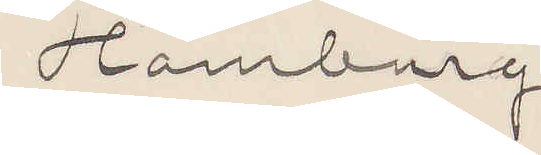Hamburg
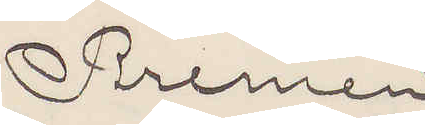Bremen
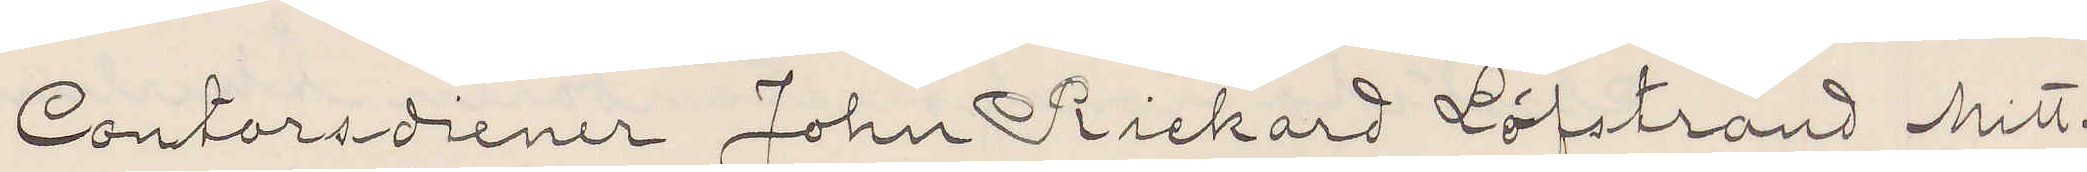Contorsdiener John Rickard Löfstrand Mitt¬
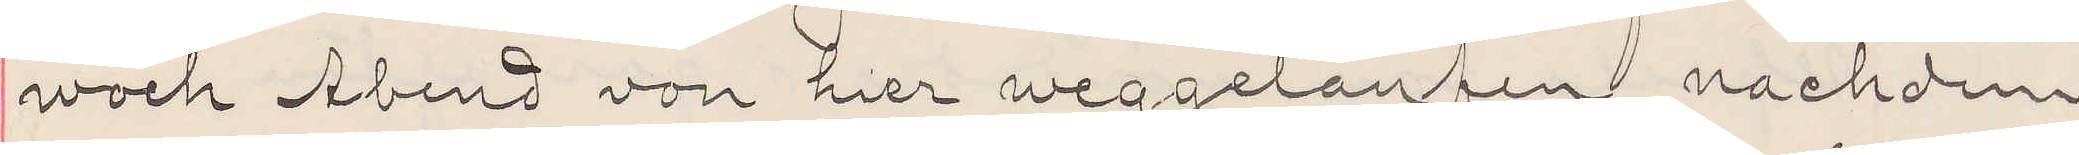woch Abend von hier weggelaufen nachdem
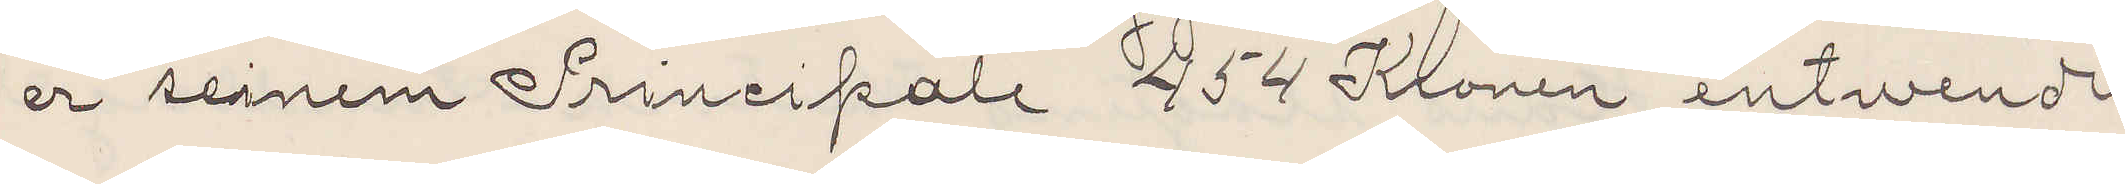er seinem Principale 454 Kronen entwendt
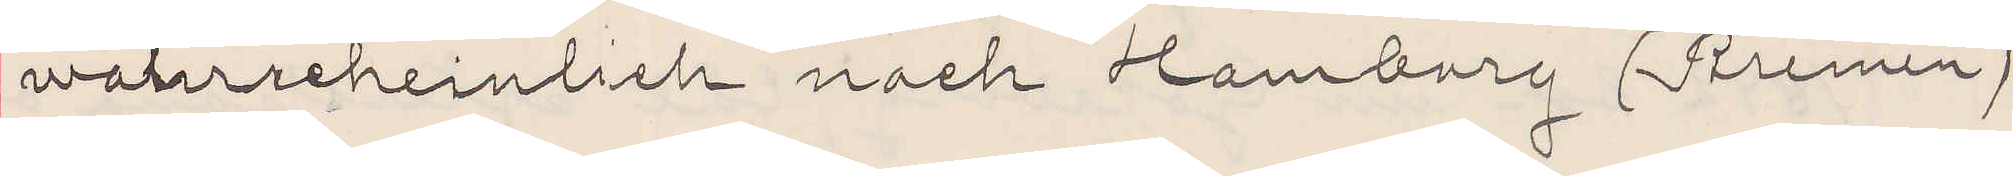wahrscheinlich nach Hamburg (Bremen)
